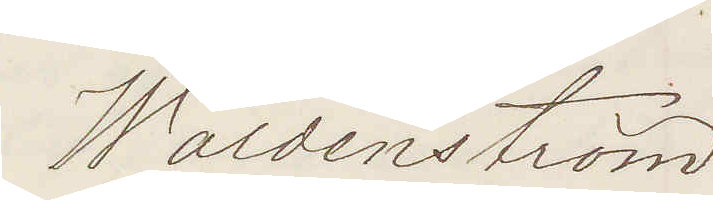Waldenström
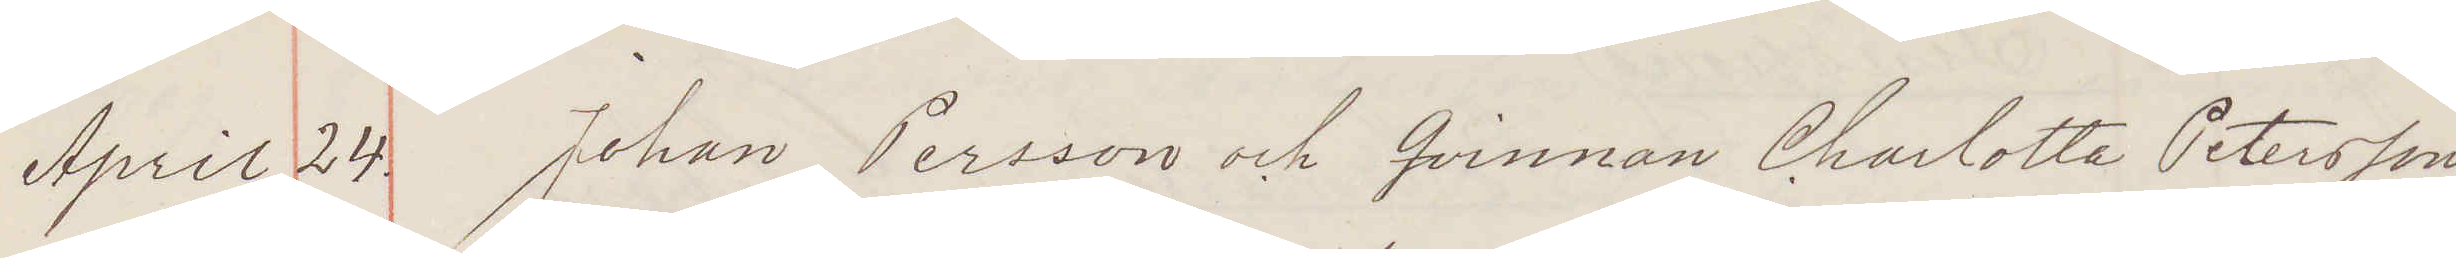April 24. Johan Persson och Qvinnan Charlotta Petersson
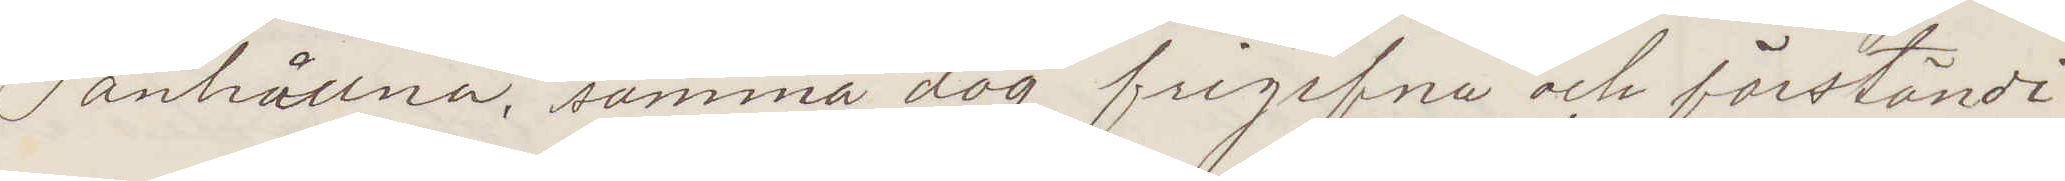anhållna, samma dag frigifvna och förständi¬
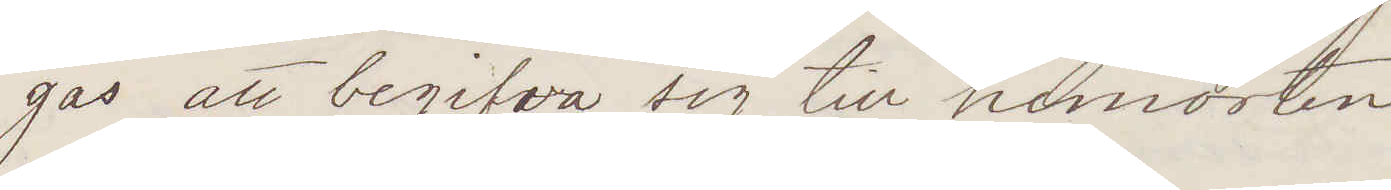gas att begifva sig till hemorten.
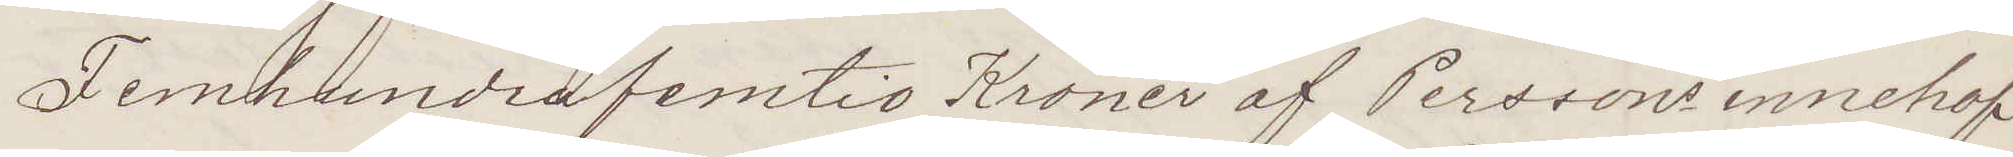Femhundrafemtio Kroner af Perssons innehaf¬
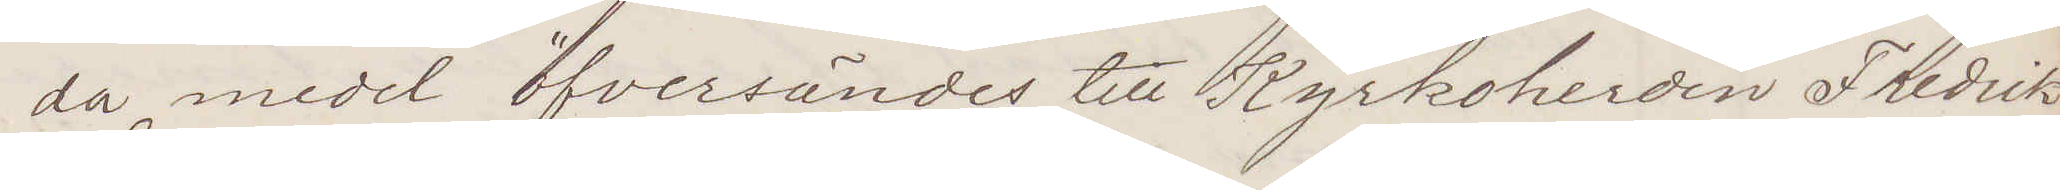da medel öfversändes till Kyrkoherden Fredrik
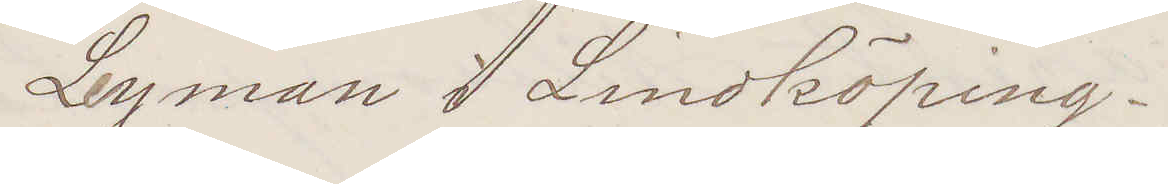Leyman i Lindköping.
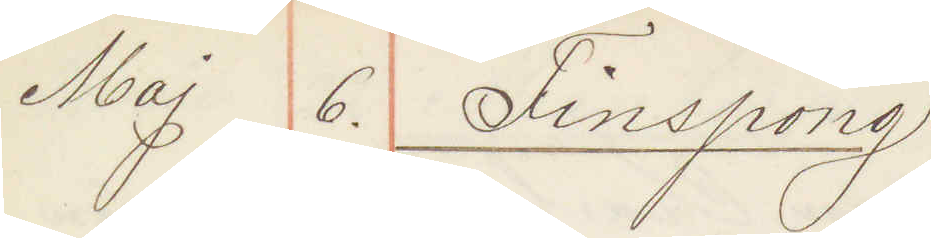Maj 6. Finspång
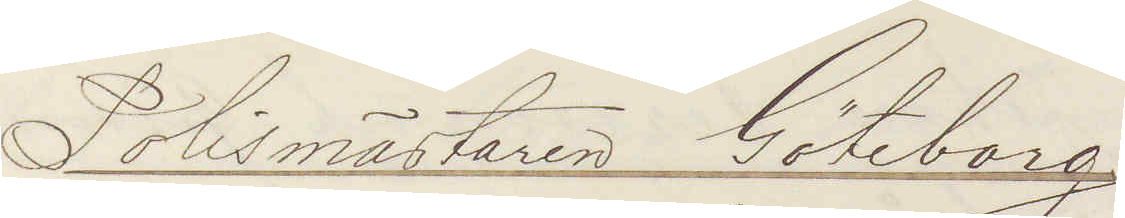Polismästaren Göteborg
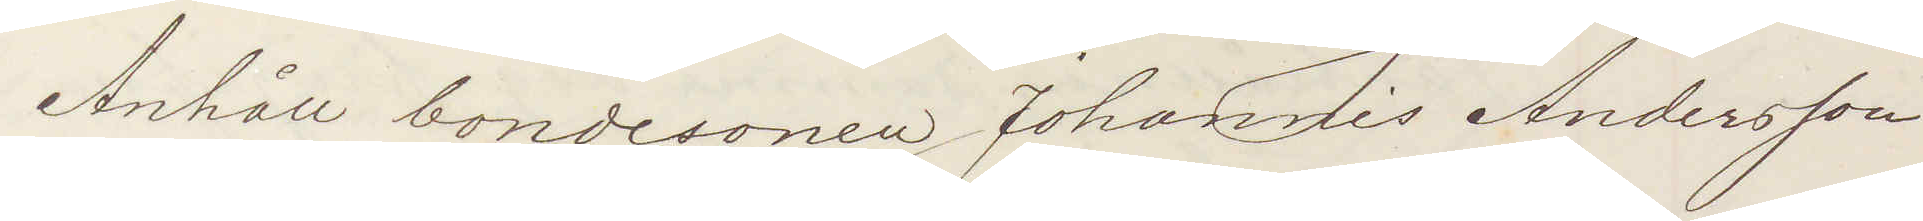Anhåll bondesonen Johannis Andersson
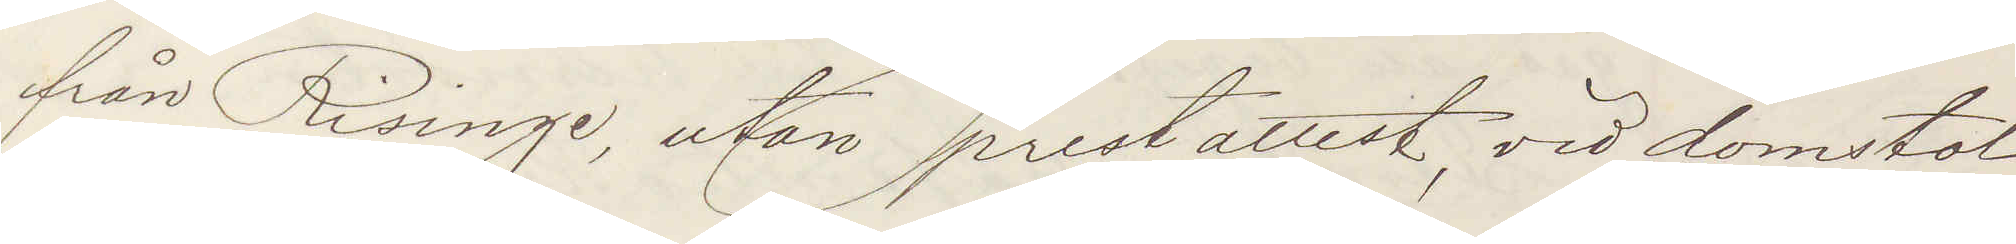från Risinge utan prestattest, vid domstol
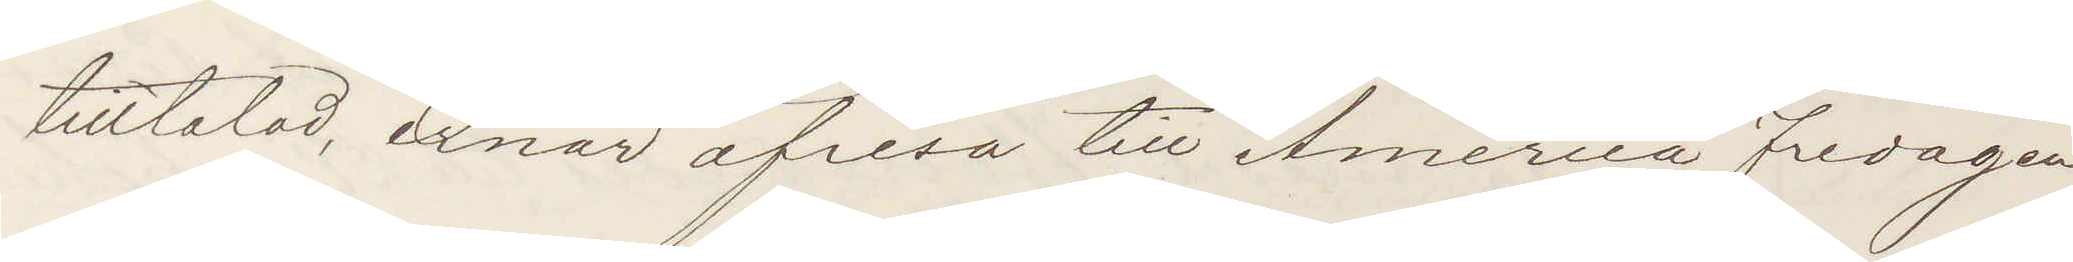tilltalad ernar afresa till America Fredagen
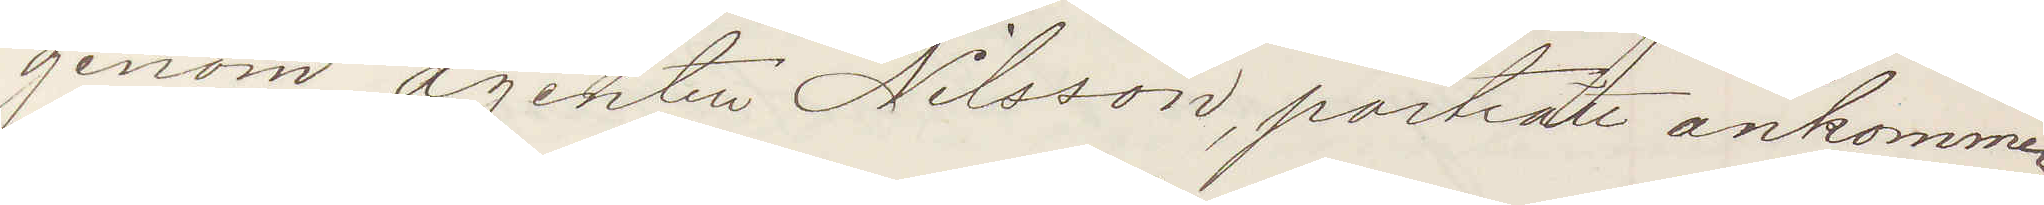genom agenten Nilsson, porträtt ankommer
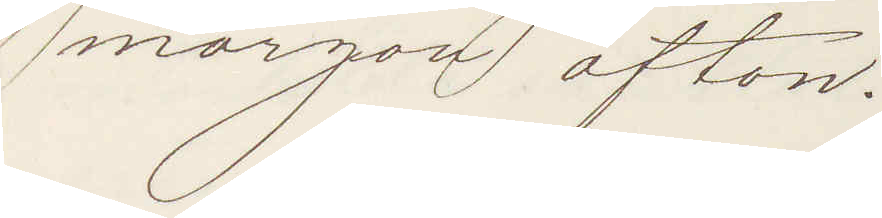morgon afton.
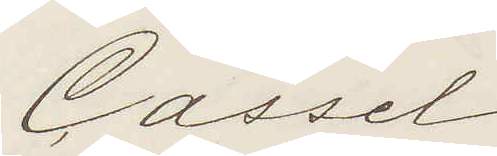Cassel
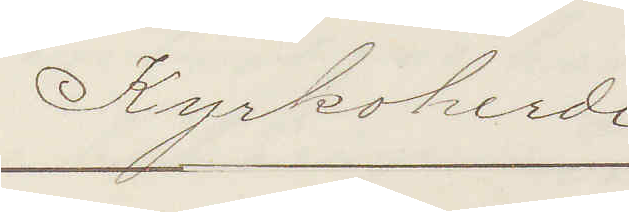Kyrkoherde
